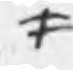#
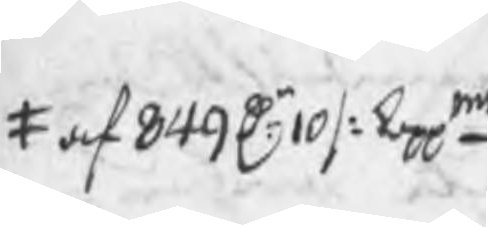# af 849 Dr 10 /: koppmt
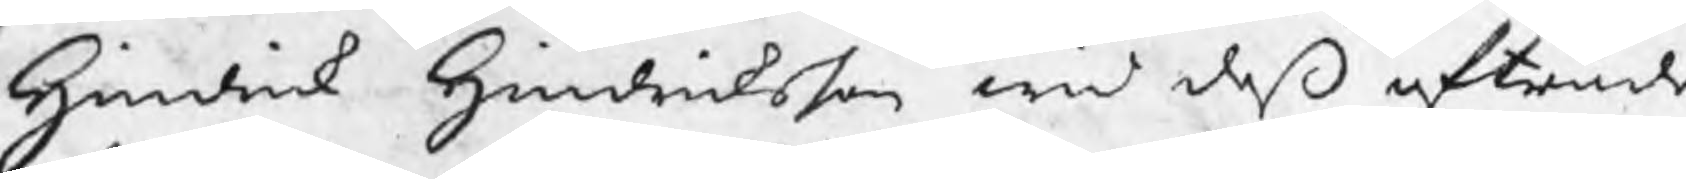Hindrick Hindricksson wid deß afträde
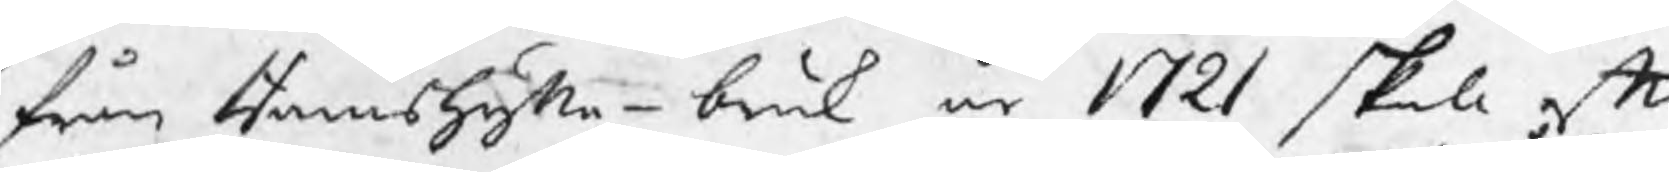från Ramshytte bruk år 1721 skola efte
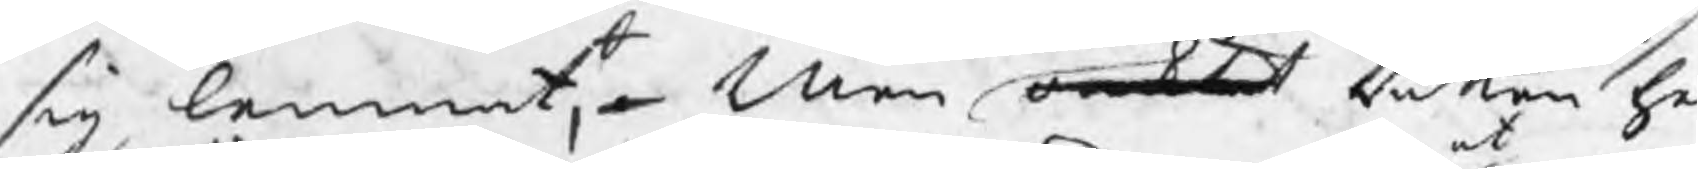sig lemnat, Men oacktat Rätten he
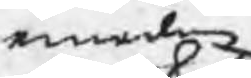emedan
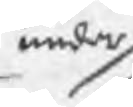under
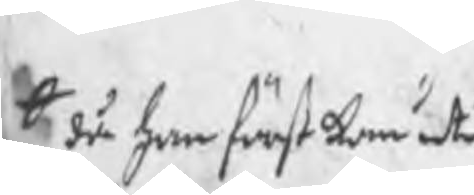0 då han först kom uti
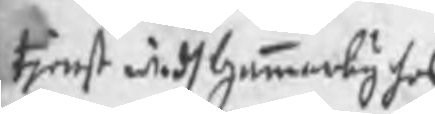tjenst widh Gammelby hos
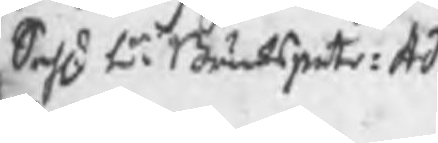Sahl. Hr Brukspatr: Ad:
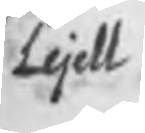Lejell
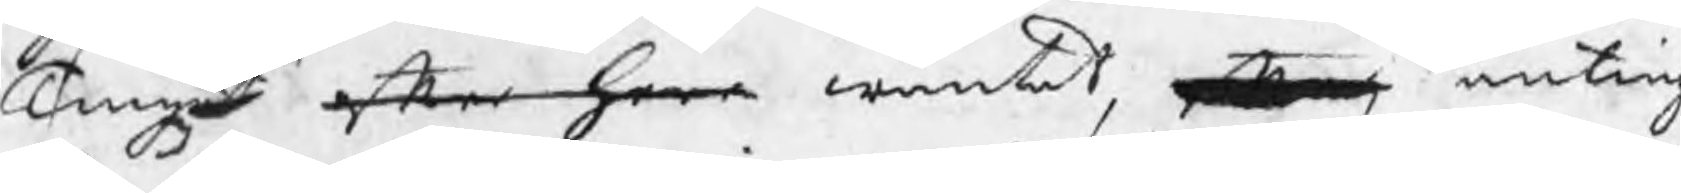Tinget efter herr wäntat, efter at anting
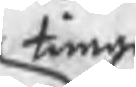timan
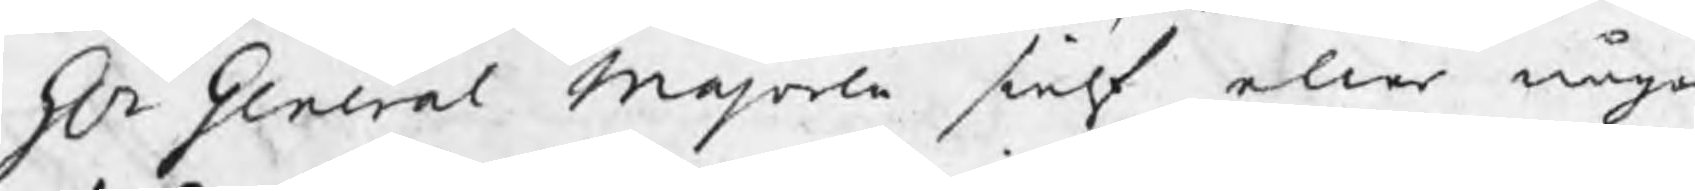Hr General Majoren sielf eller någo
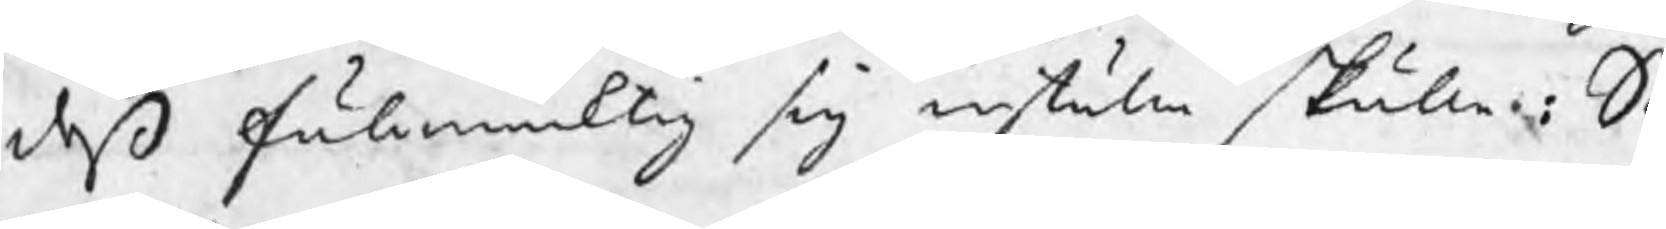deß fullmäcktig sig inställa skulle : S
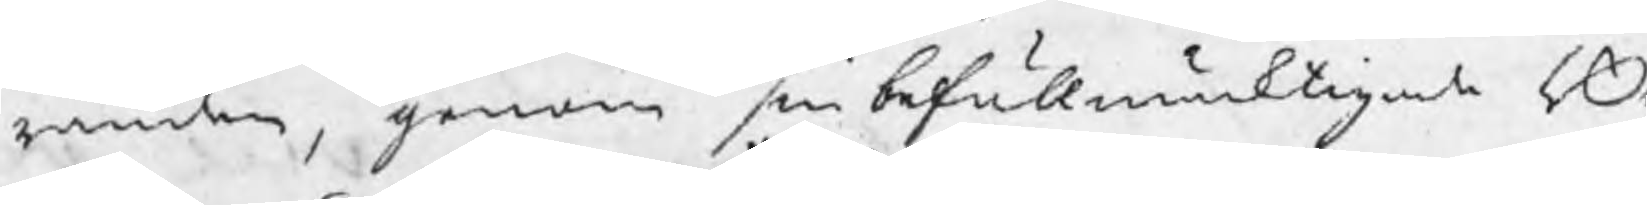randen, genom sin befullmäcktigade Bo
